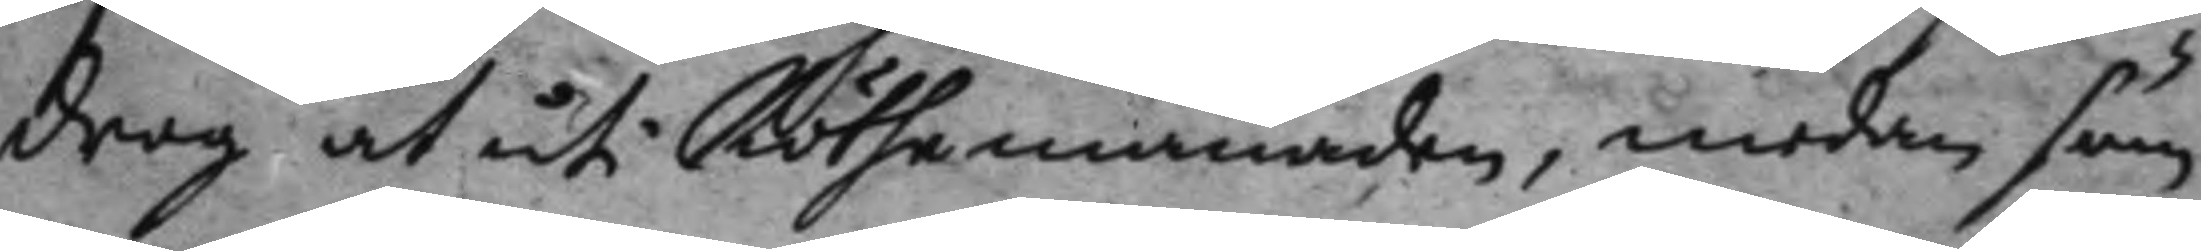drog at uti Röthemånaden, medan som
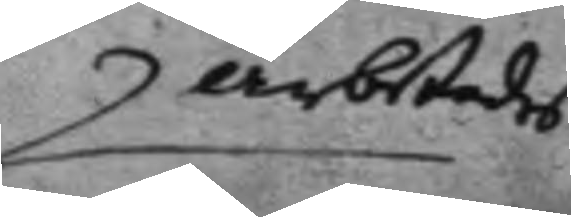arbetades
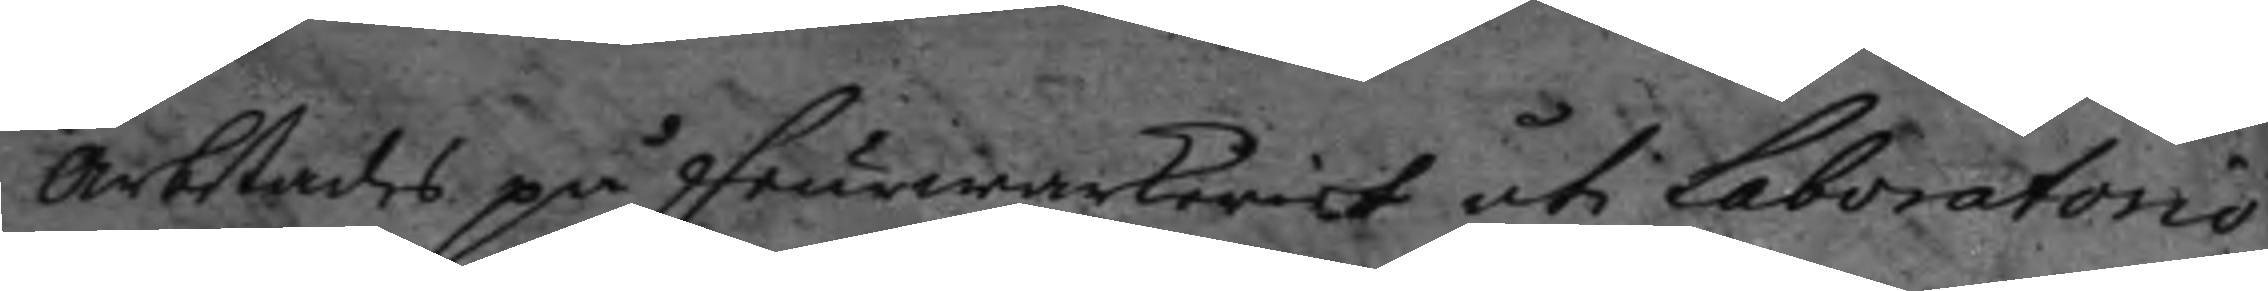arbetades på feurwarkeriet uti laboratorio,
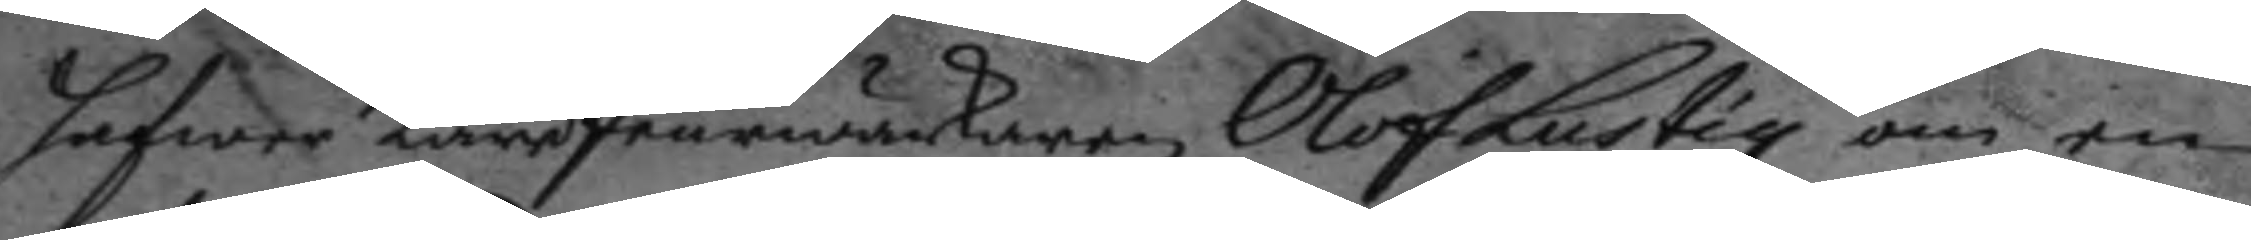hafwer Lärefeurwärkaren Olof LUstig om en
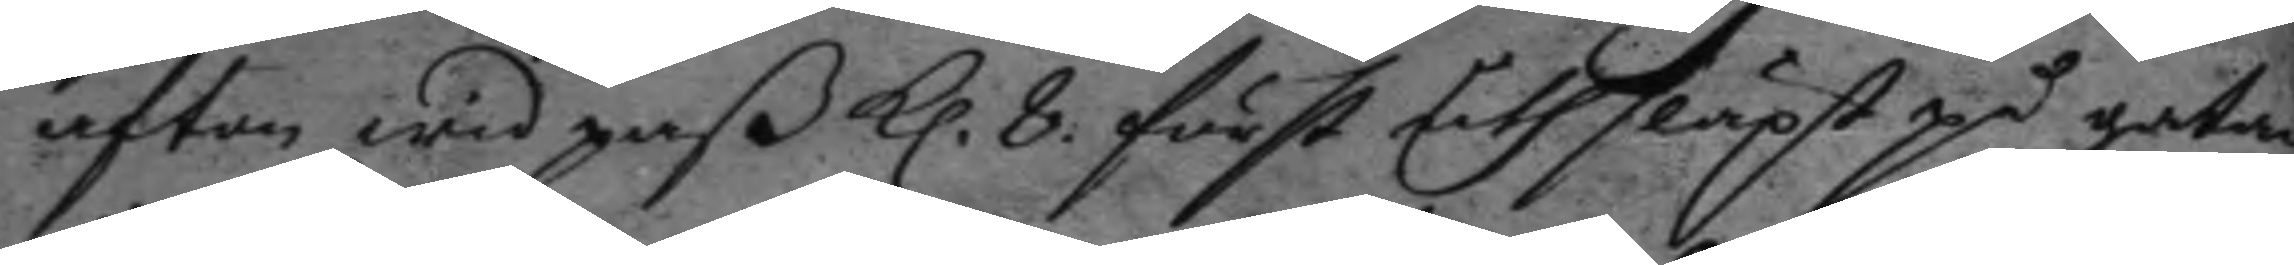afton wid paß kl. 8. först uthsläpt på gatan
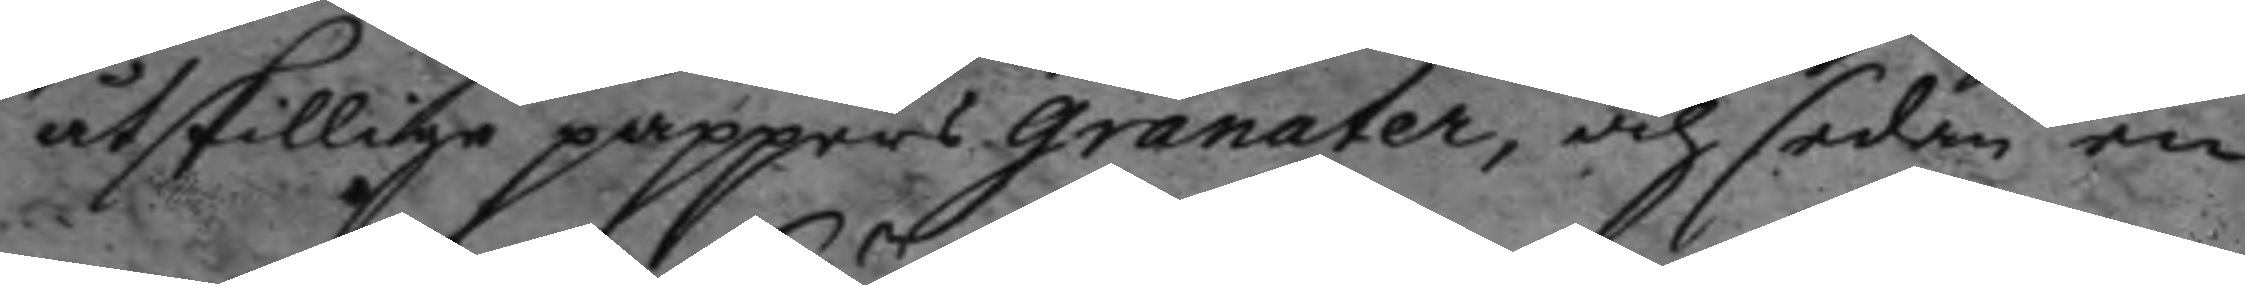åtskillige pappers granater, och sedan en
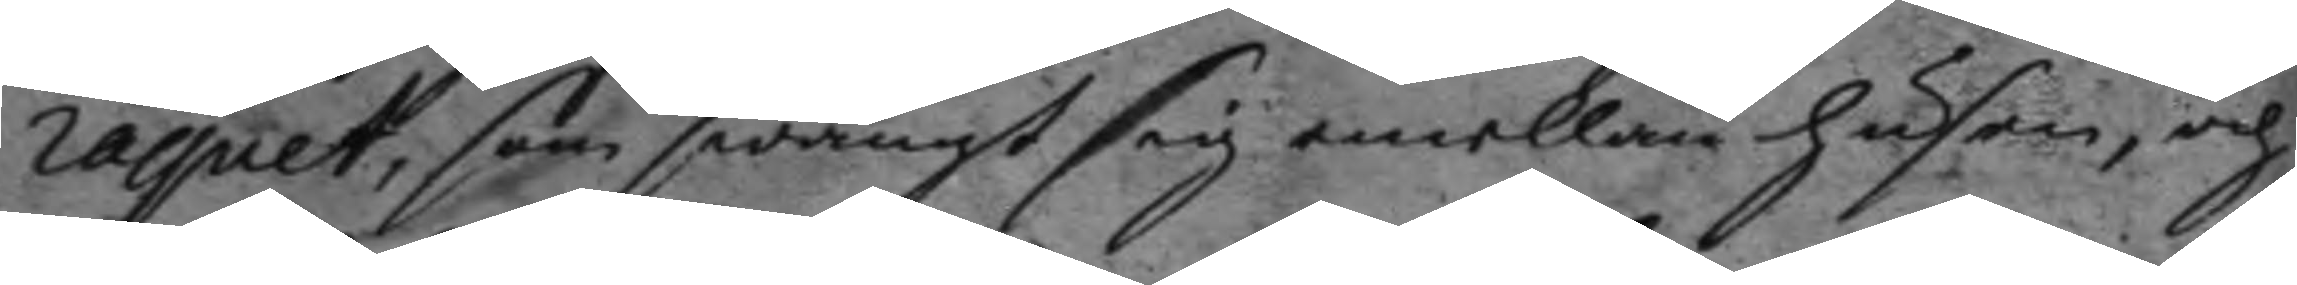raquet, som swängt sig emellan husen, och
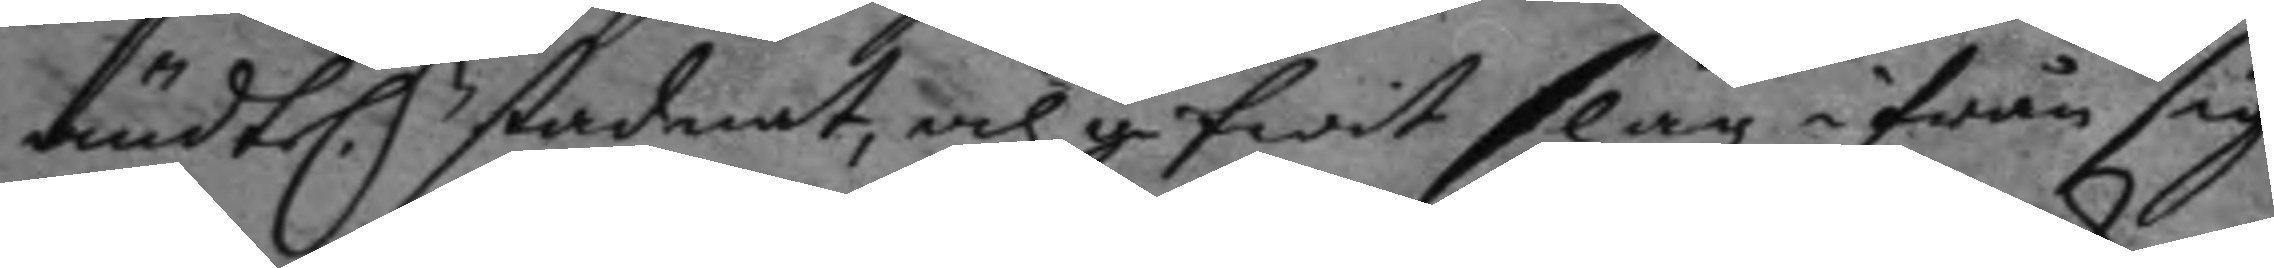ändtel.n stadnat, och gifwit slag ifrån sig
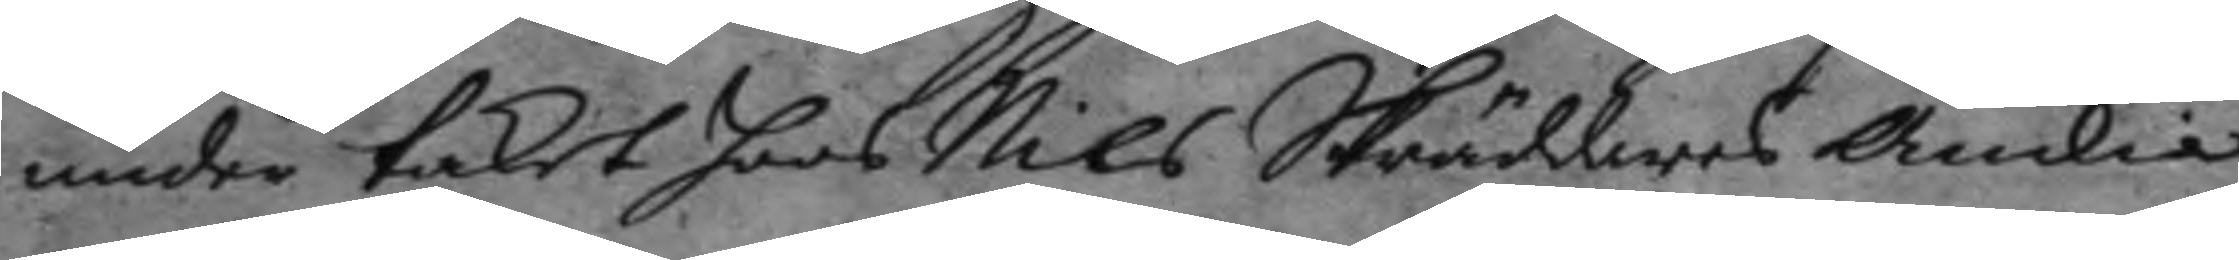under taket hoos Nils Skräddares Änkia
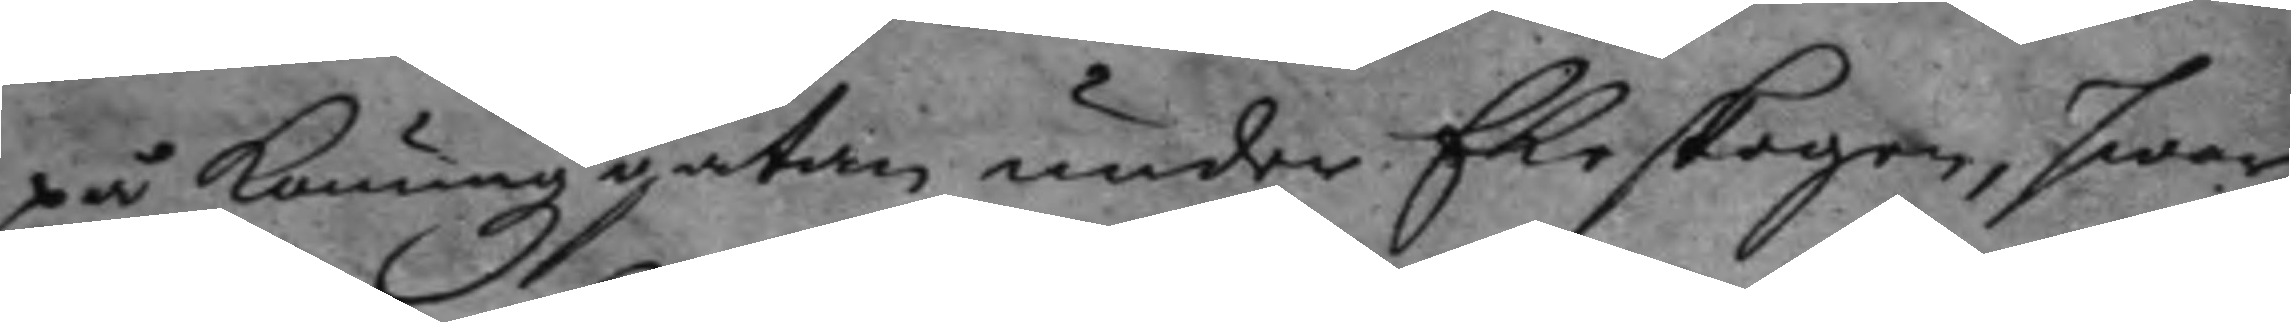på konungzgatan under Ekeskogen, hwar¬
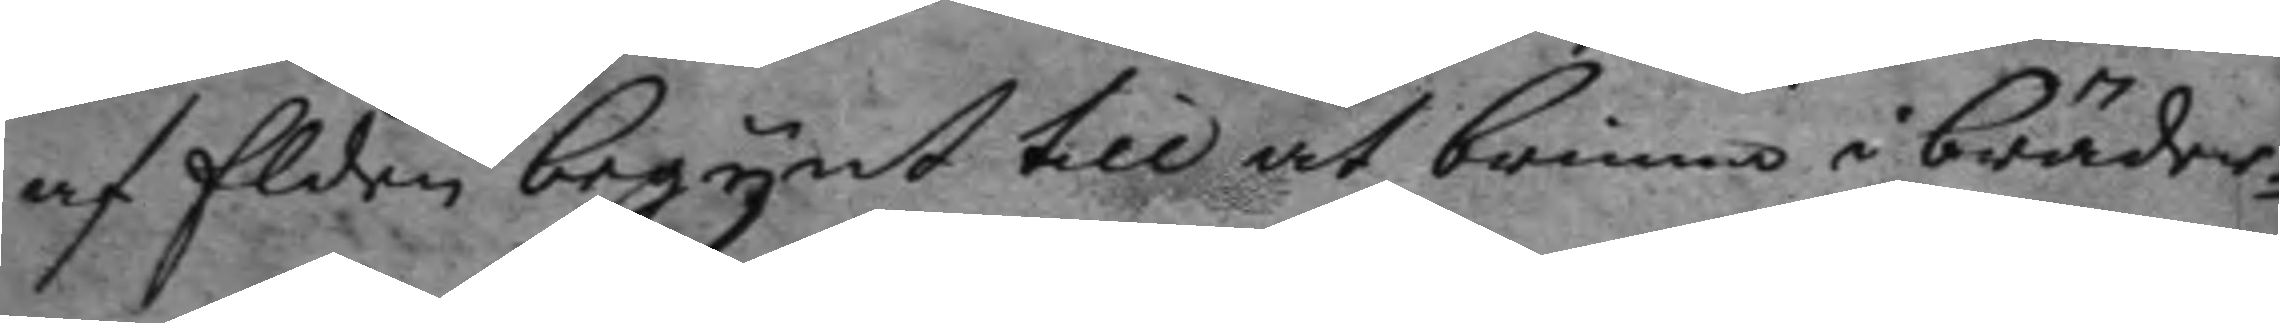af Elden begynt till at brinna i bräder¬
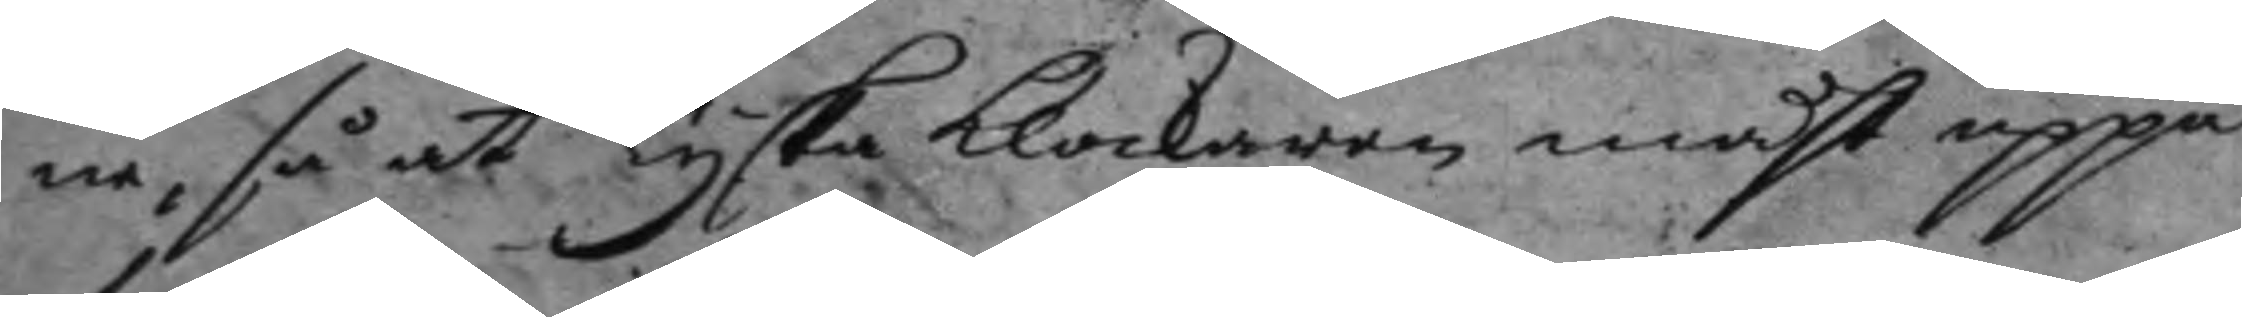ne, så at Tyska klockaren måst uppå
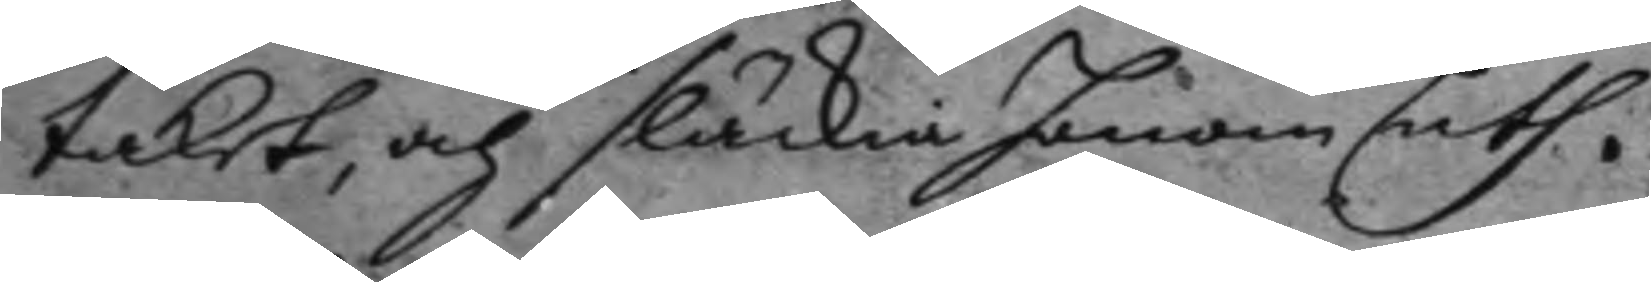talet, och släcka honom uth.
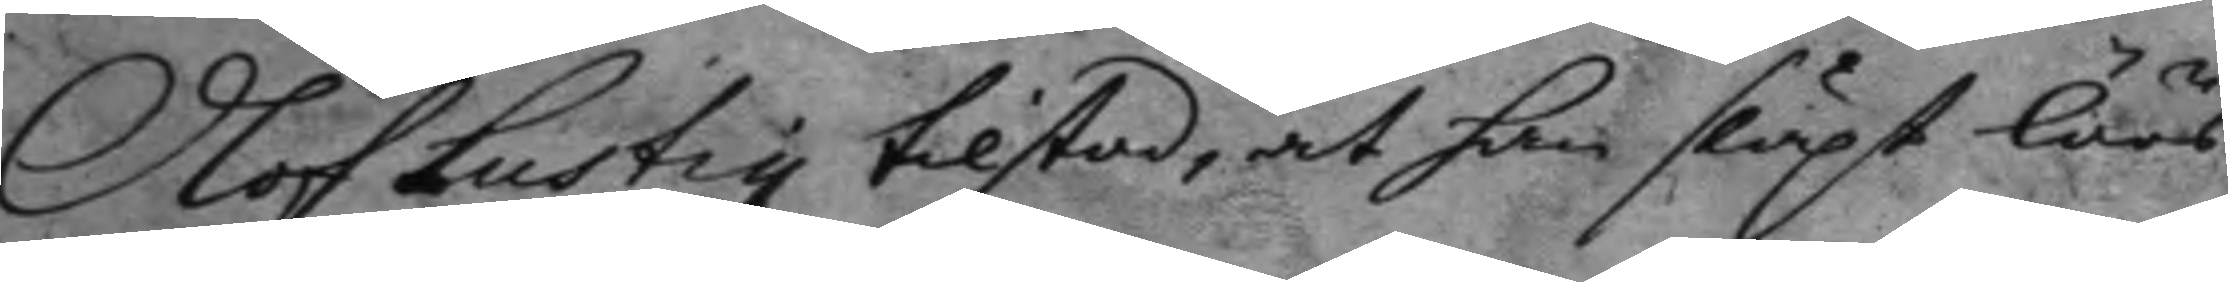Olof Lustig tilstod, at han släpt löös
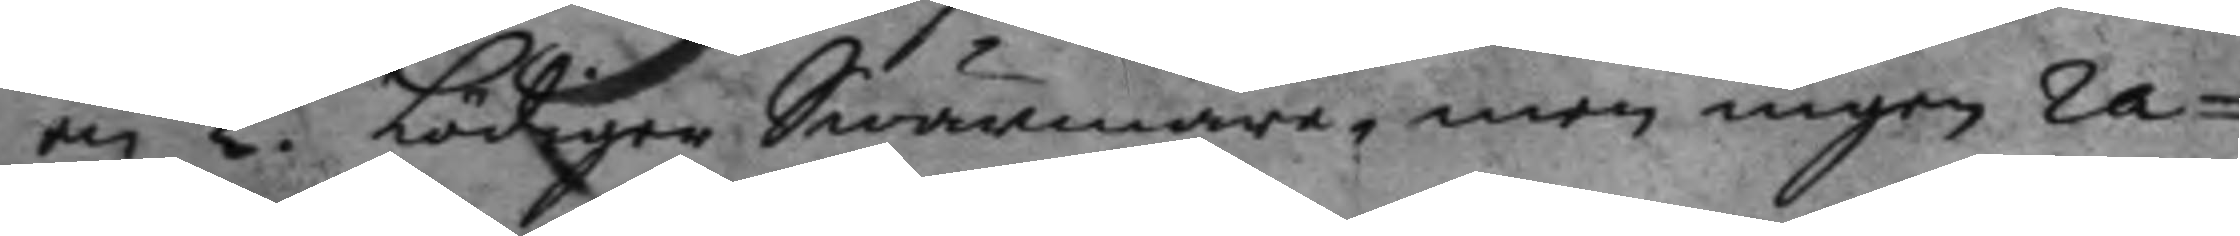en 2. Lödiger Swärmare, men ingen ra¬
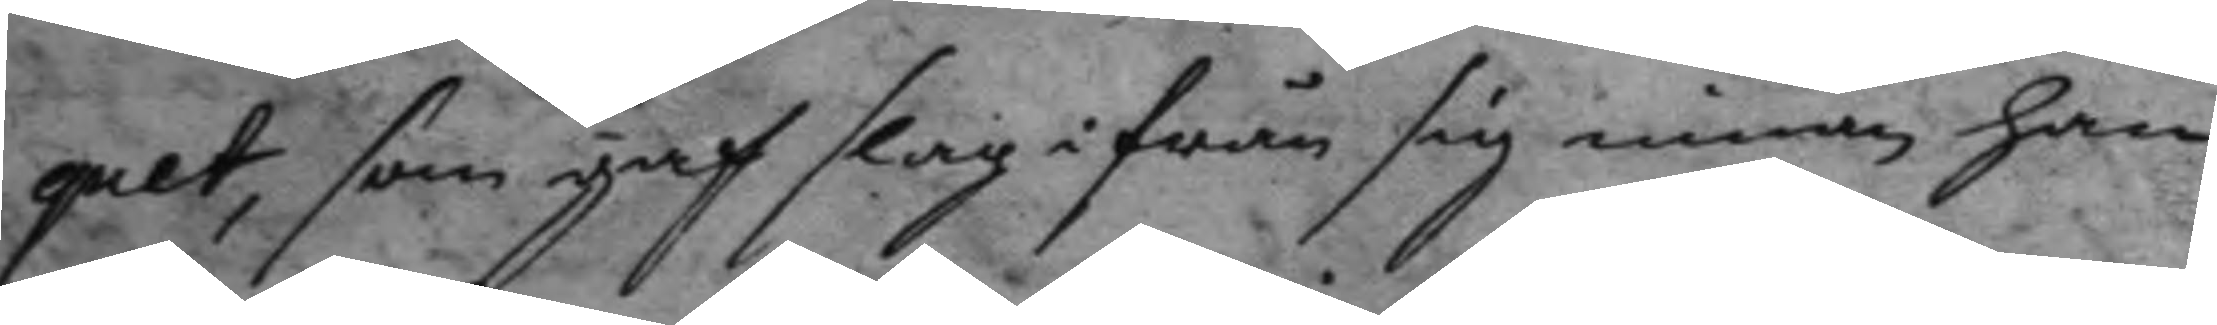quet, som gaf slag i från sig innan han
